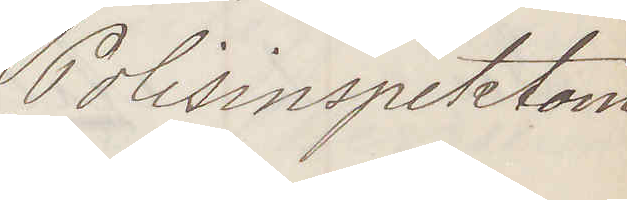Polisinspektorn
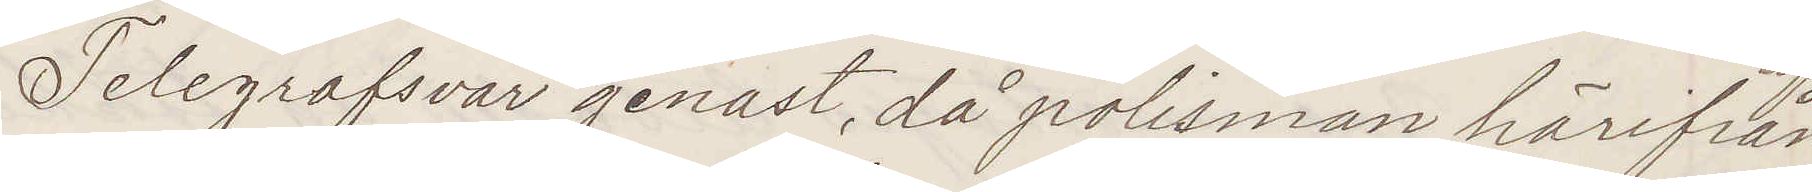Telegrafsvar genast då polisman härifrån
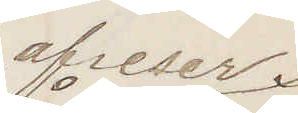afreser
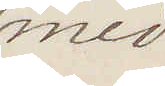med
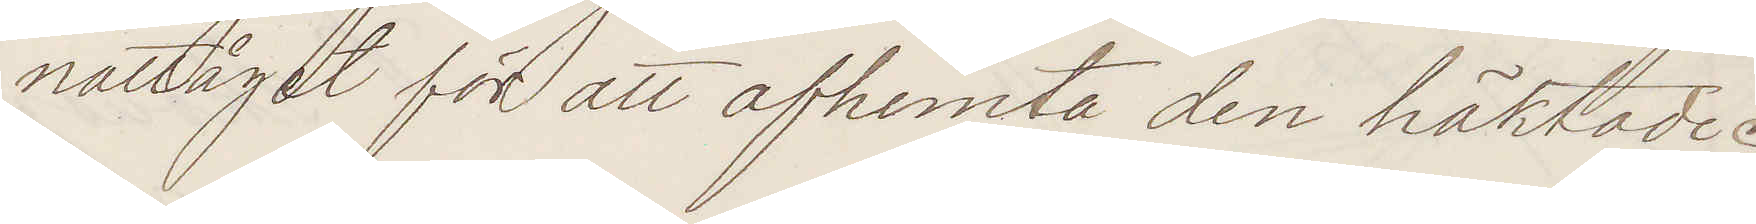nattåget för att afhemta den häktade
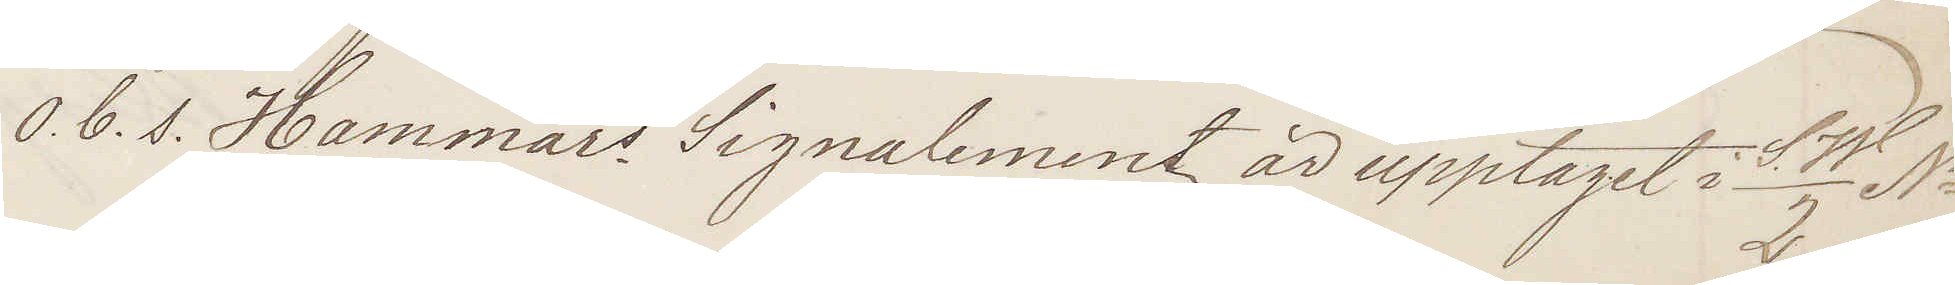O. b. s. Hammars Signalement är upptaget i SW/2 No
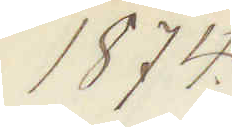1874.
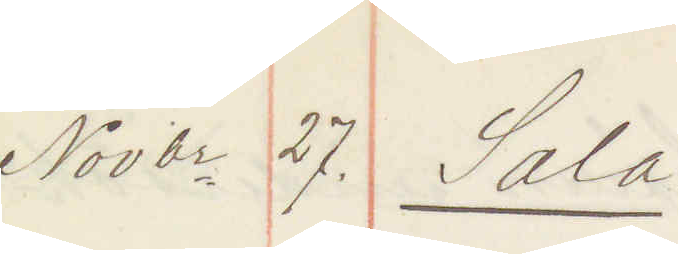Novbr 27. Sala:
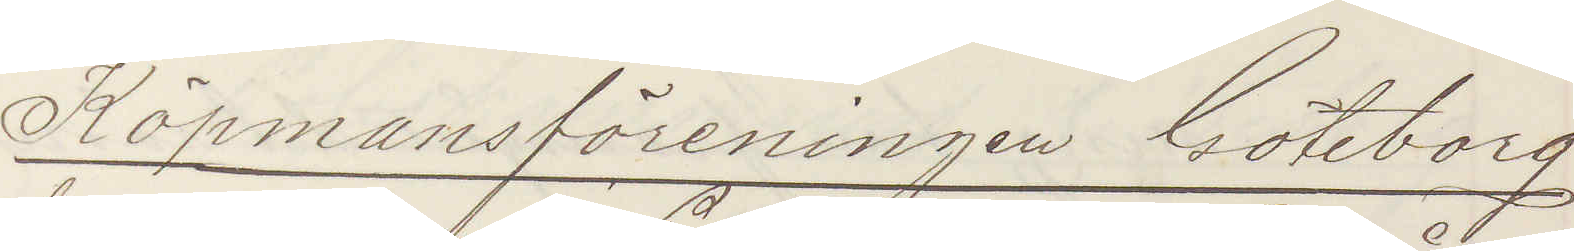Köpmansföreningen Göteborg
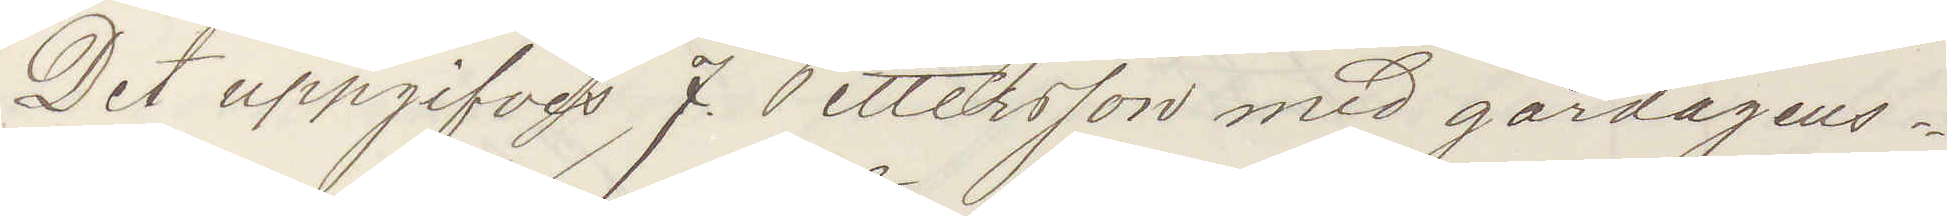Det uppgifves J Pettersson med gårdagens
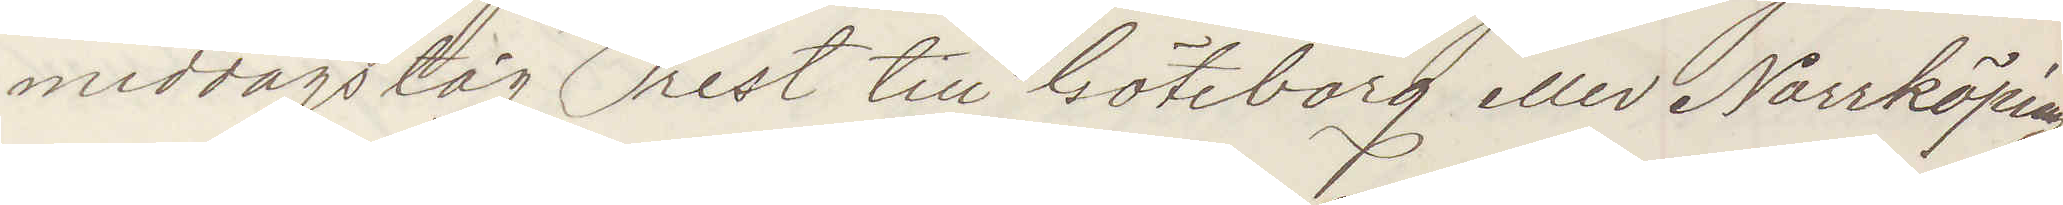middagståg rest till Göteborg eller Norrköping
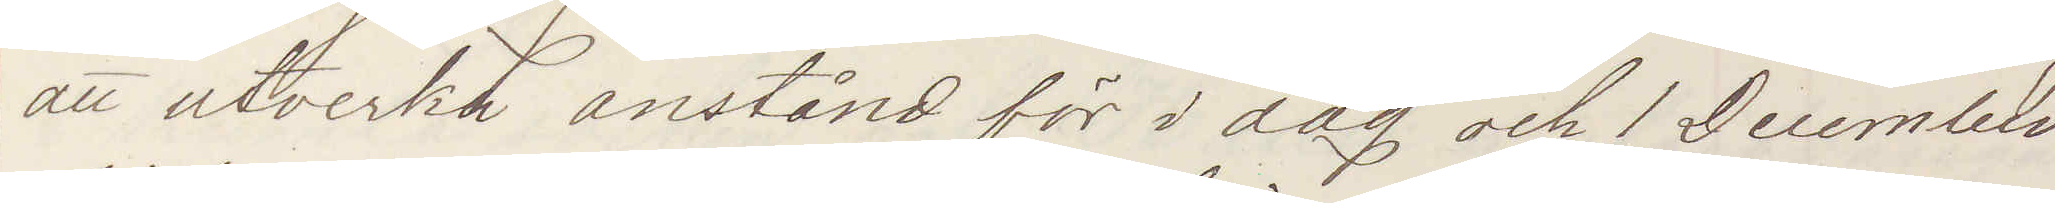att utverka anstånd för i dag och 1 December
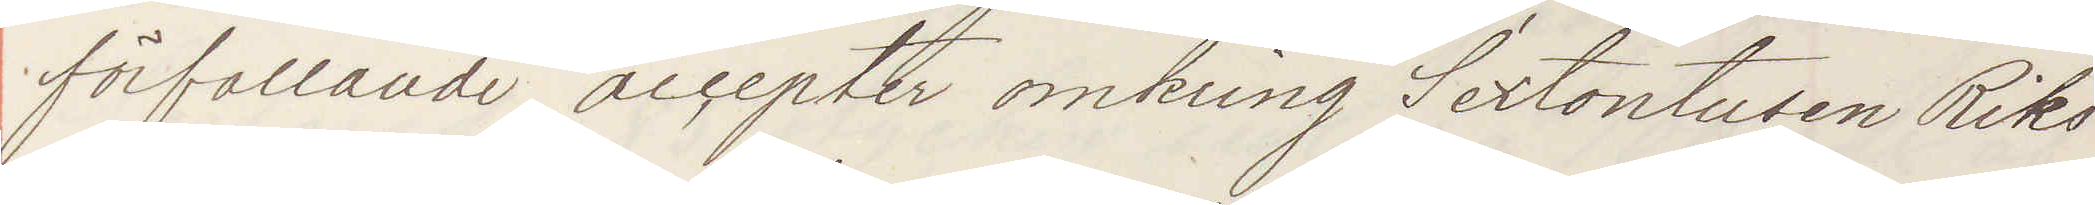förfallande accepter omkring Sextontusen Riks¬
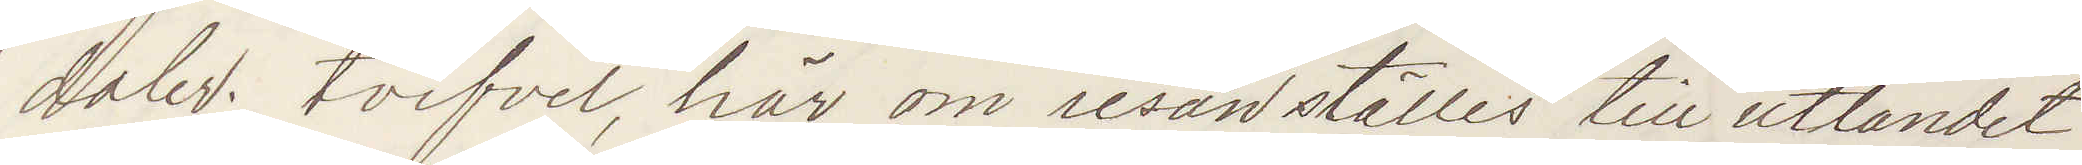daler. tvifvel, här om resan ställes till utlandet
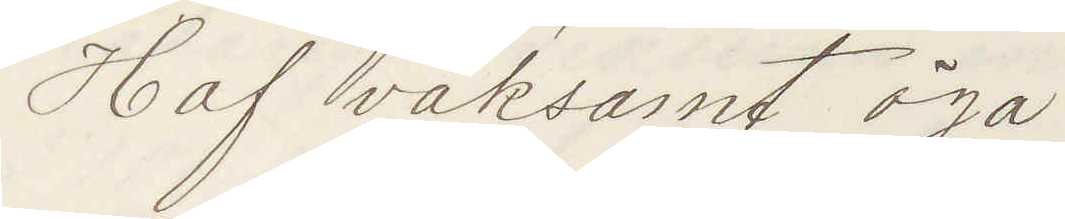Haf vaksamt öga.
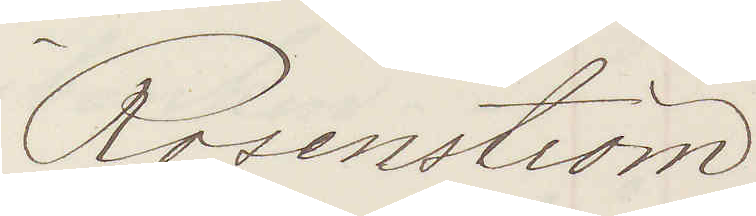Rosenström
